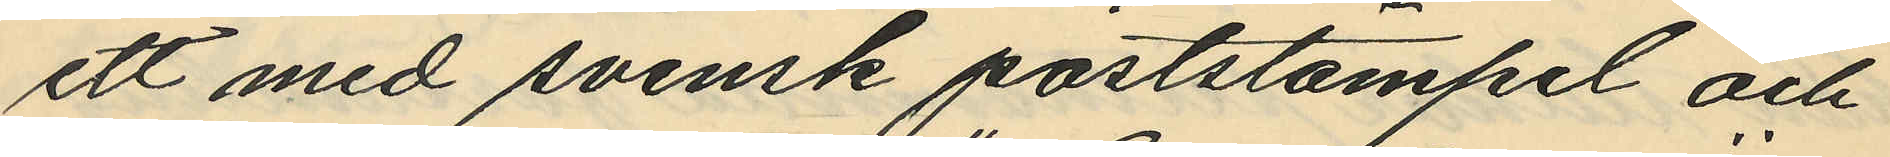ett med svensk poststämpel och
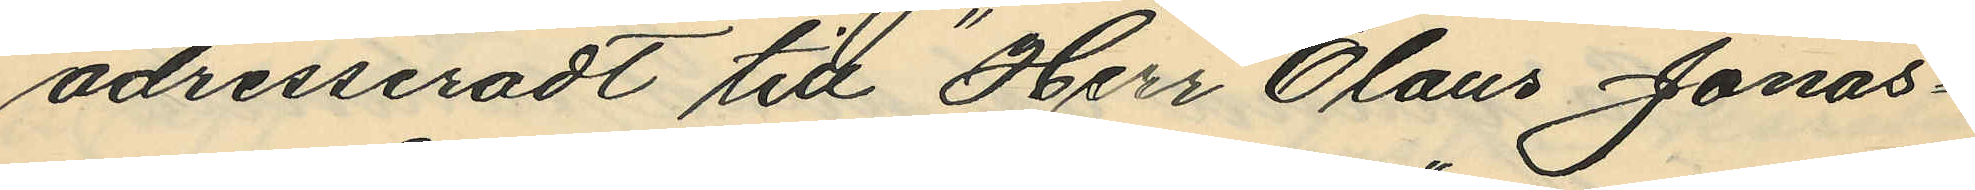adresseradt till "Herr Olaus Jonas¬
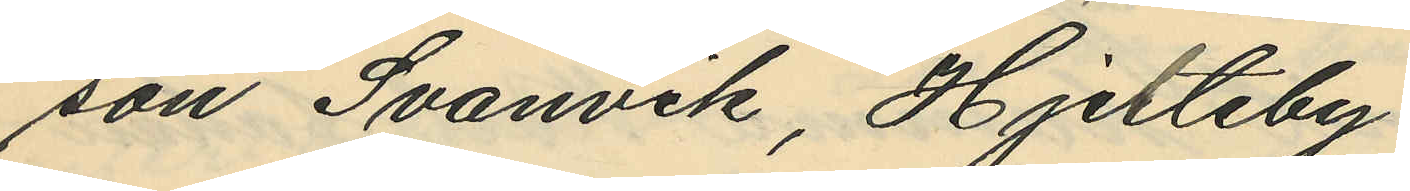son Svanvik, Hjelteby".
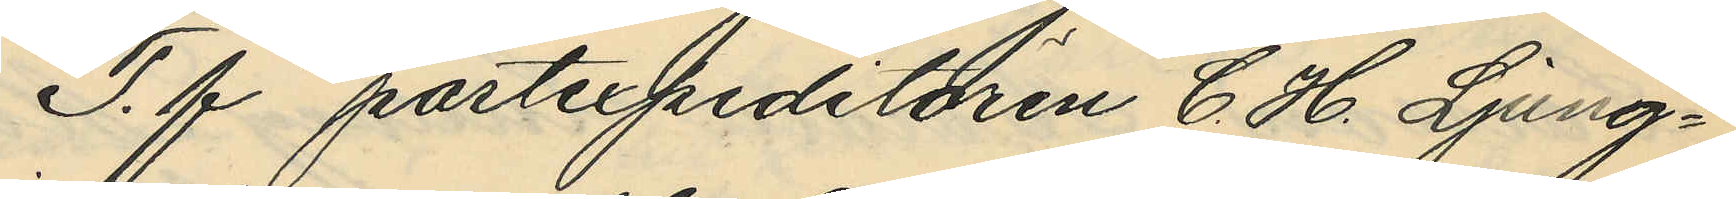T. f postexpeditören C. H. Ljung¬
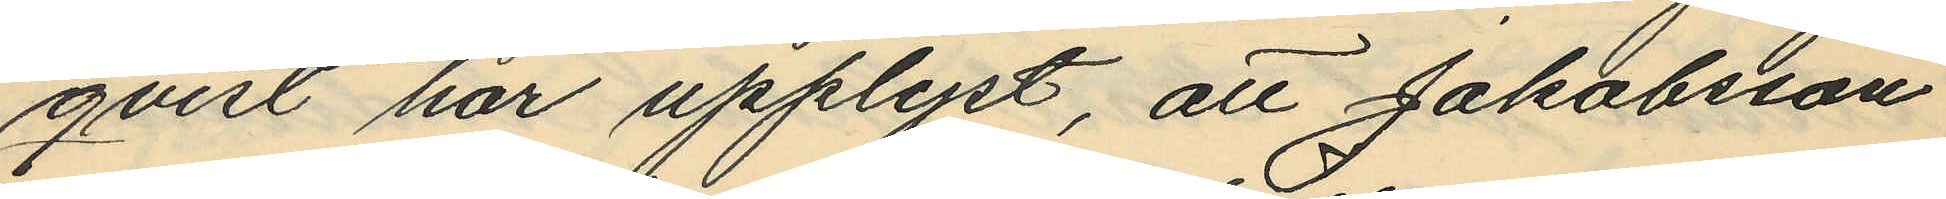qvist har upplyst, att Jakobsson
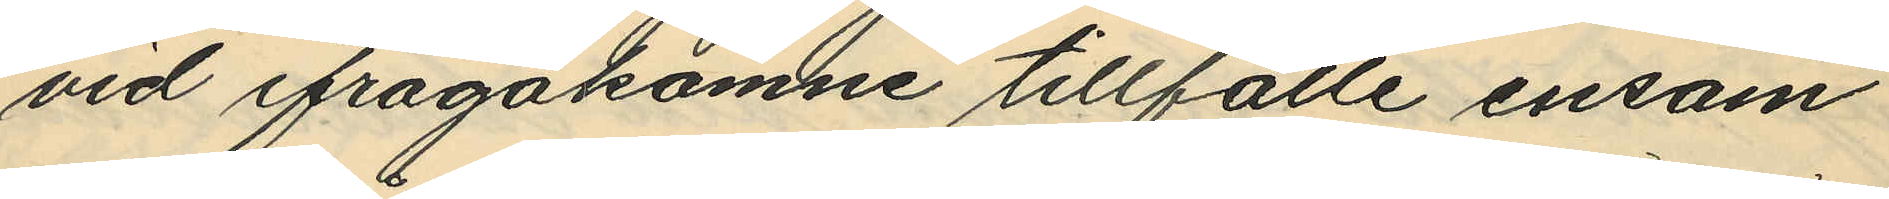vid ifrågakomne tillfälle ensam
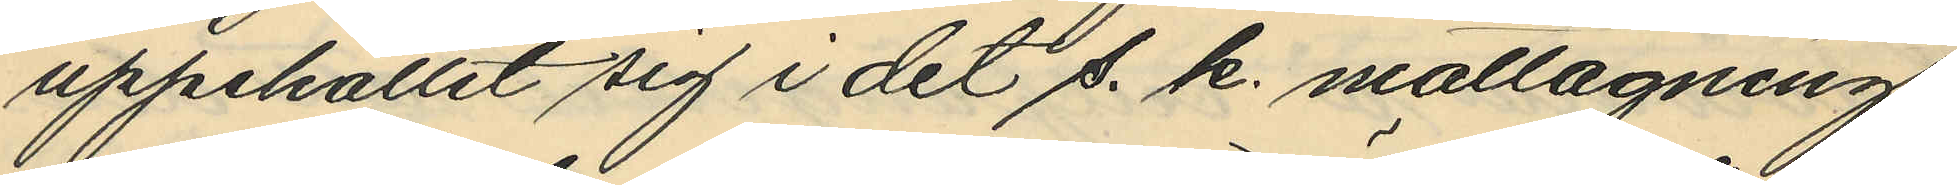uppehållit sig i det s. k. mottagnings
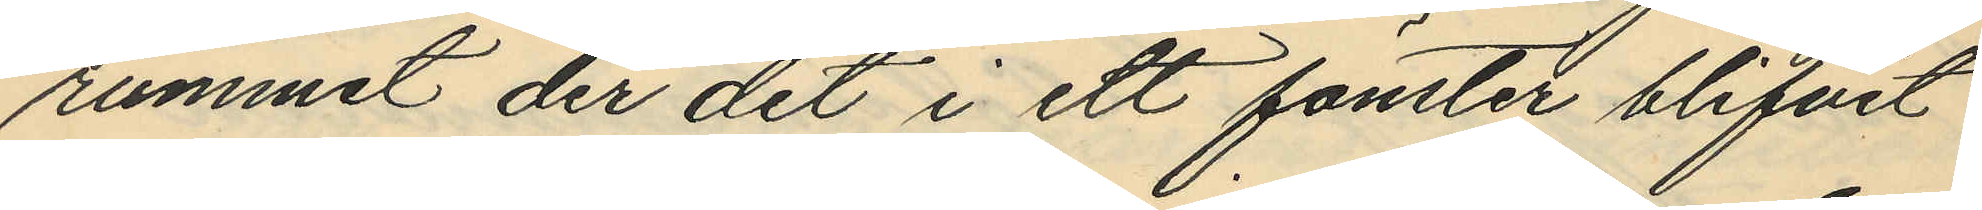rummet der det i ett fönster blifvit
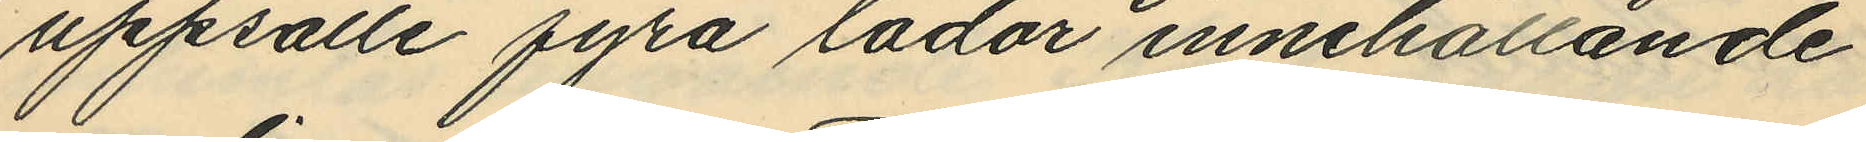uppsatte fyra lådor innehållande
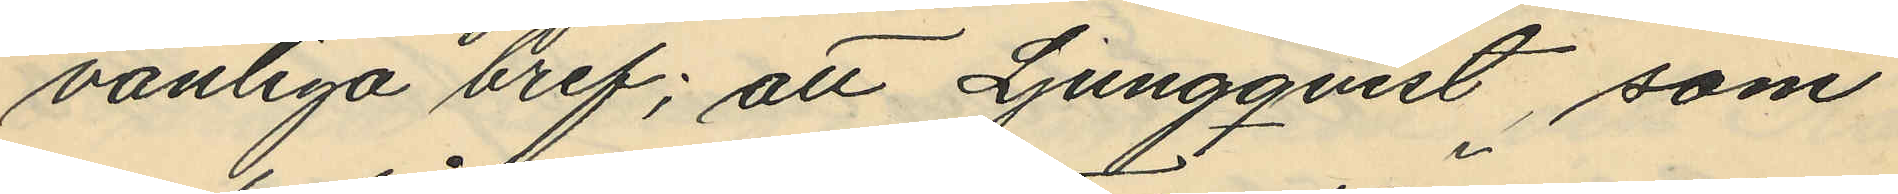vanliga bref; att Ljungqvist, som
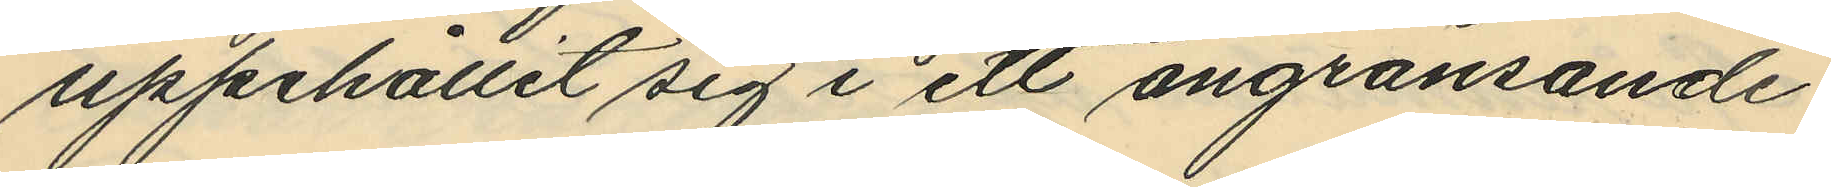uppehållit sig i ett angränsande
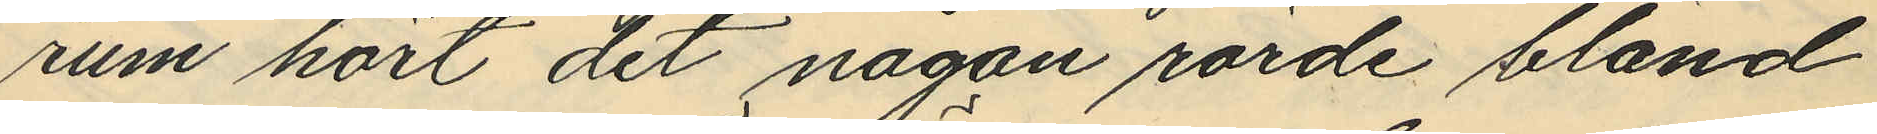rum hört det någon rörde bland
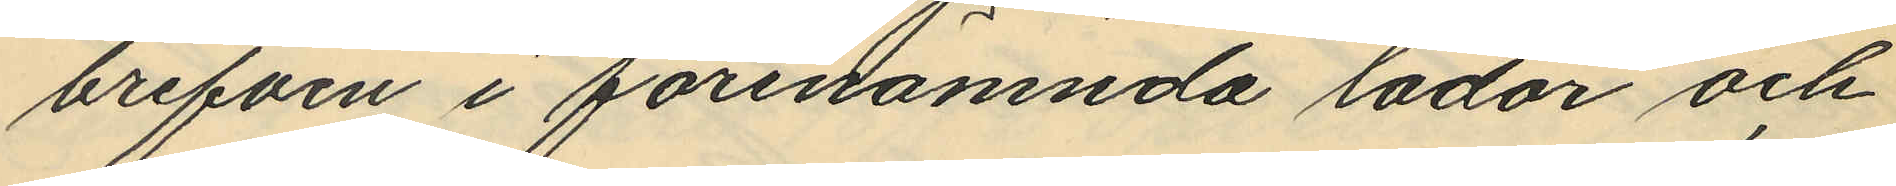brefven i förenämnda lådor och
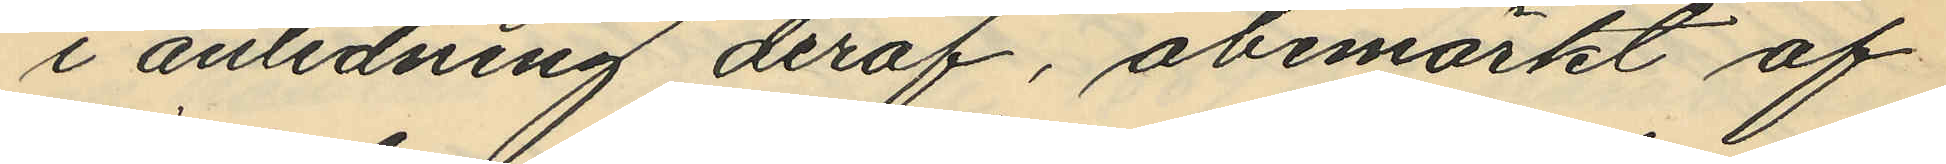i anledning deraf, obemärkt af
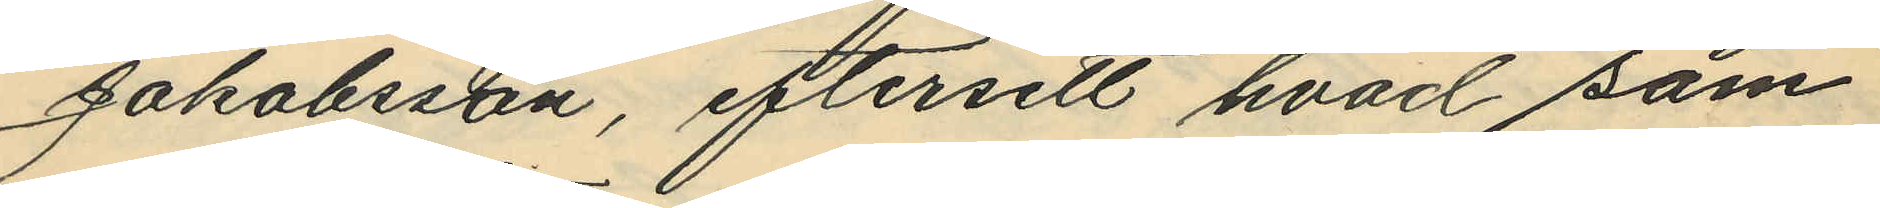Jakobsson, eftersett hvad som
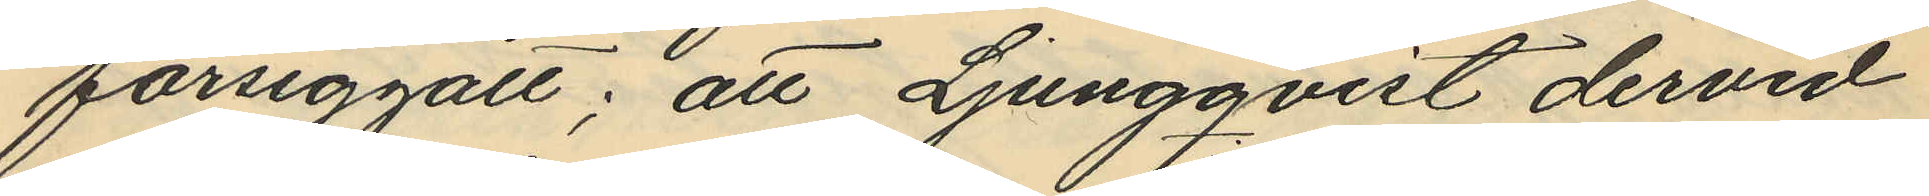försiggått; att Ljungqvist dervid
